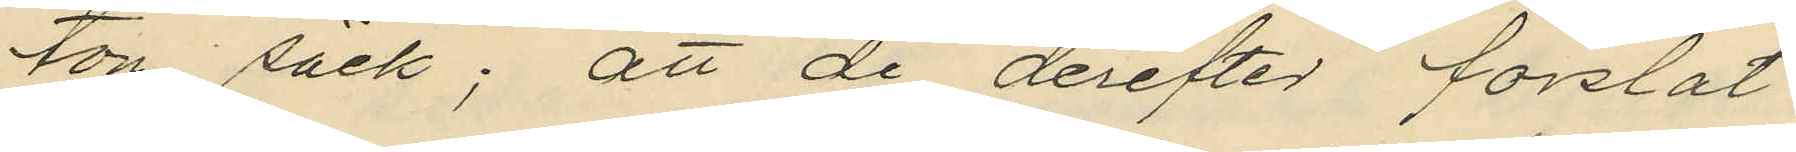tom säck; att de derefter forslat
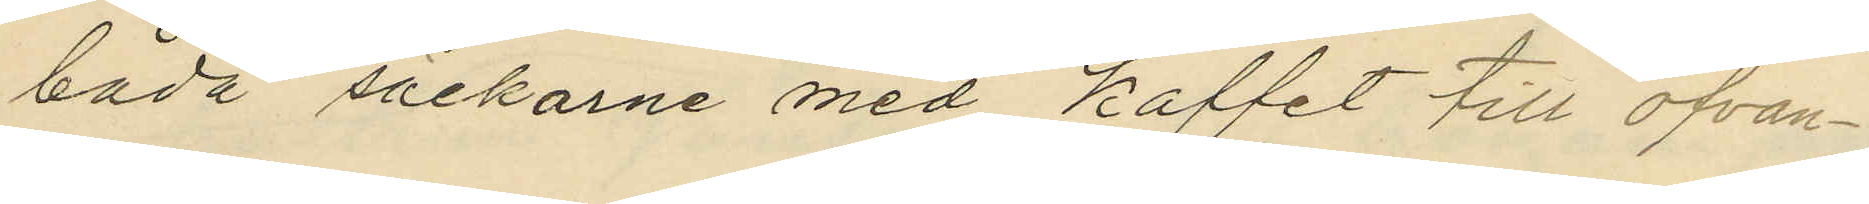båda säckarne med kaffet till ofvan¬
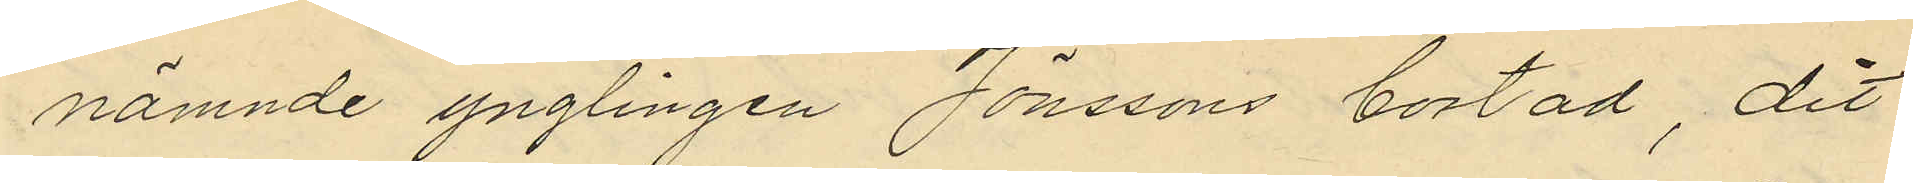nämnde ynglingen Jönssons bostad, dit
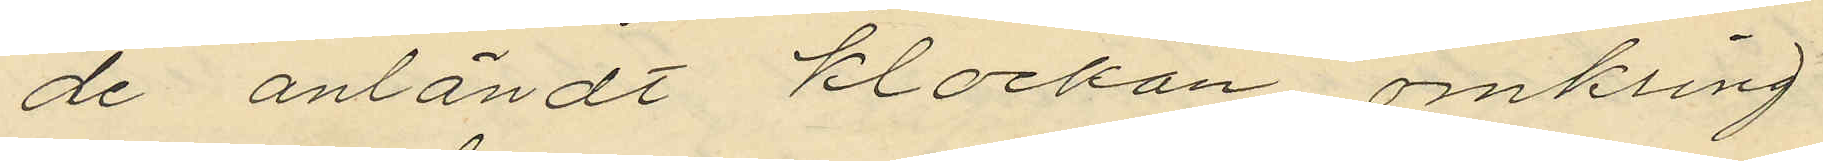de anländt klockan omkring
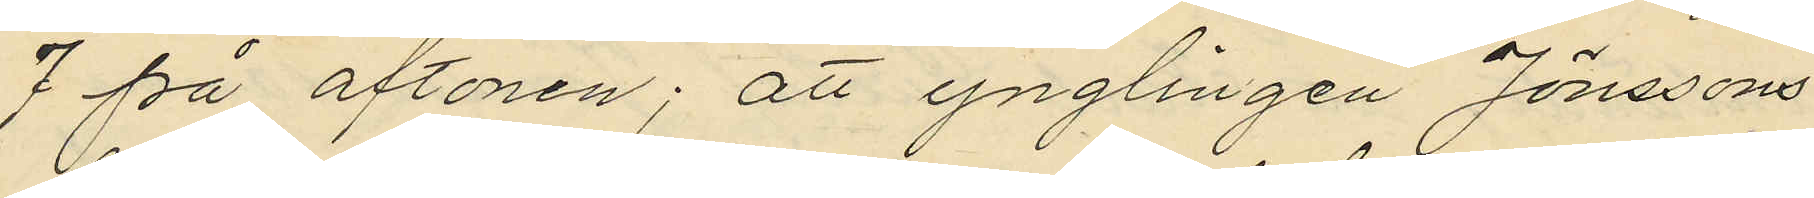7 på aftonen; att ynglingen Jönssons
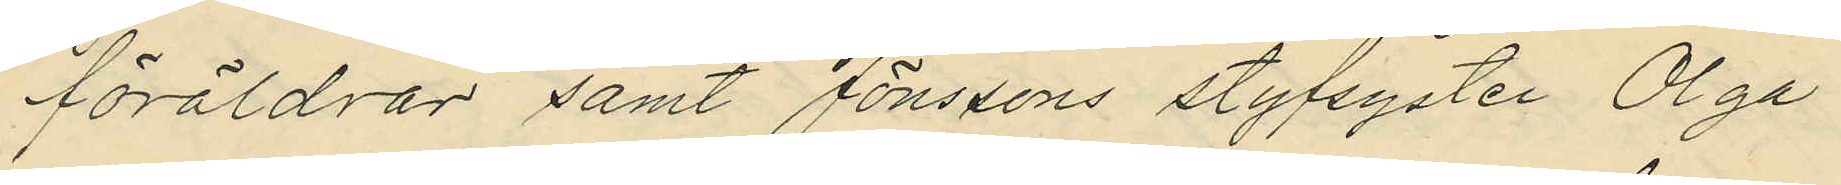föräldrar samt Jönssons styfsyster Olga
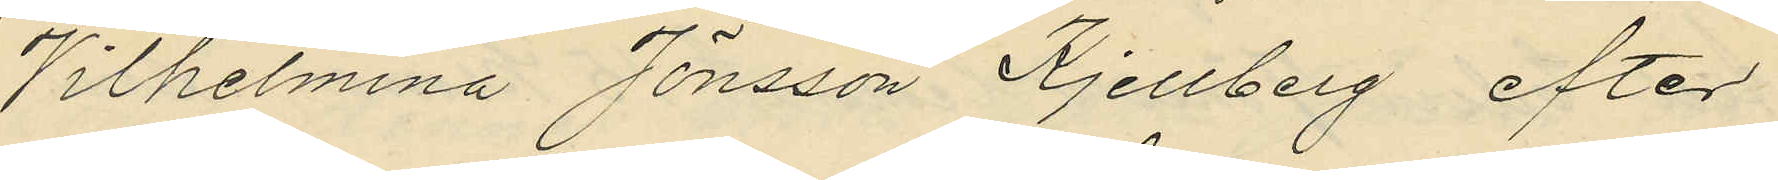Vilhelmina Jönsson Kjellberg efter
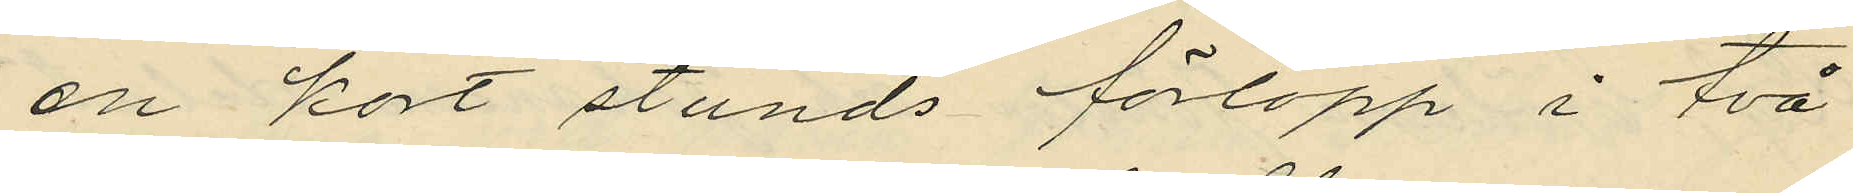en kort stunds förlopp i två
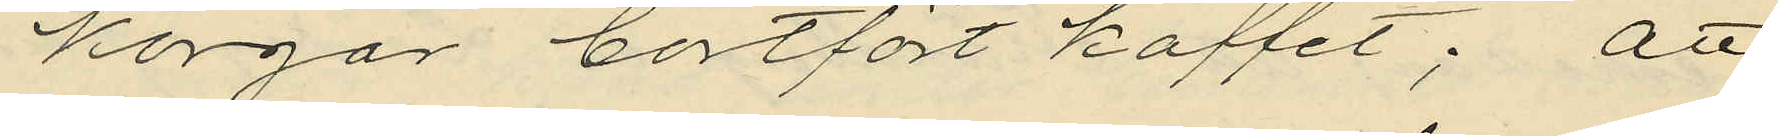korgar bortfört kaffet; att
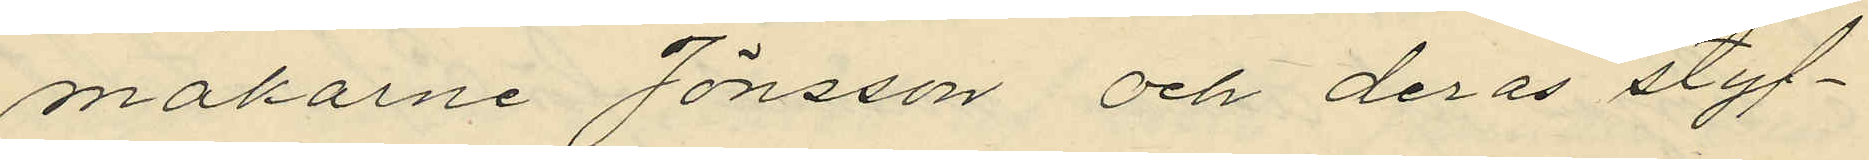makarne Jönsson och deras styf¬
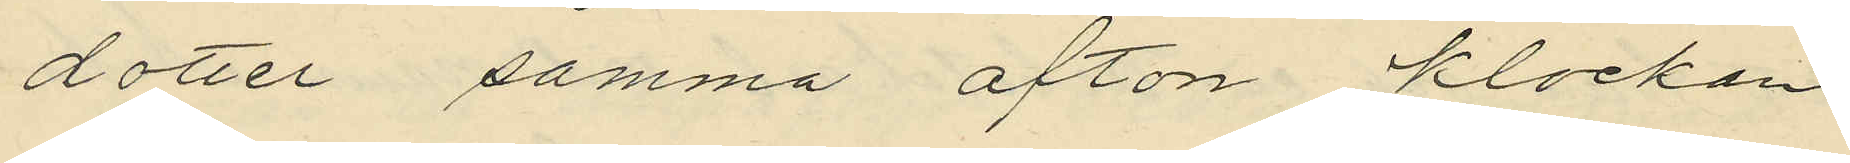dotter samma afton klockan
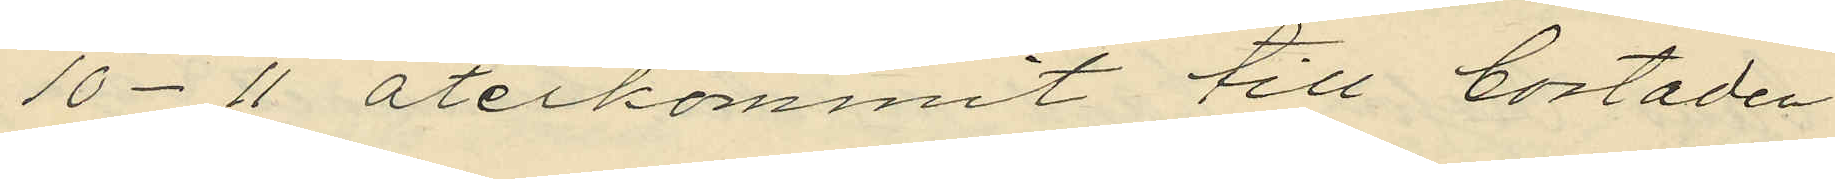10-11 återkommit till bostaden
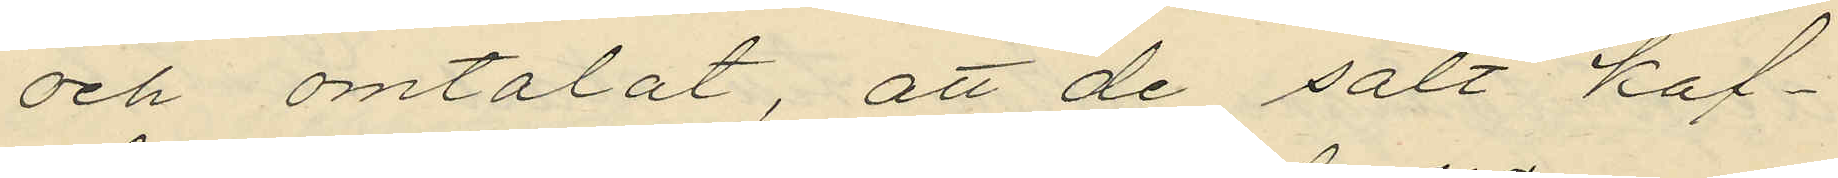och omtalat, att de sålt kaf¬
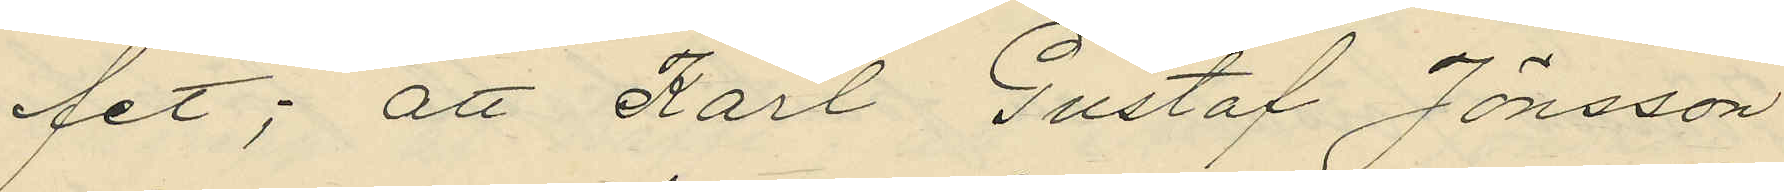fet; att Karl Gustaf Jönsson
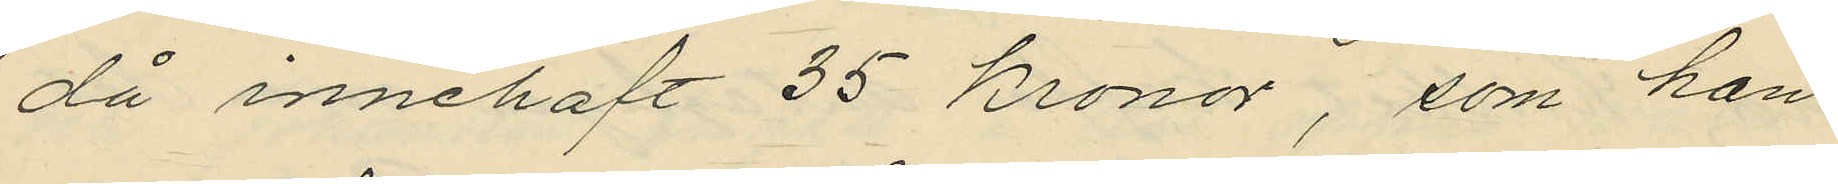då innehaft 35 kronor, som han
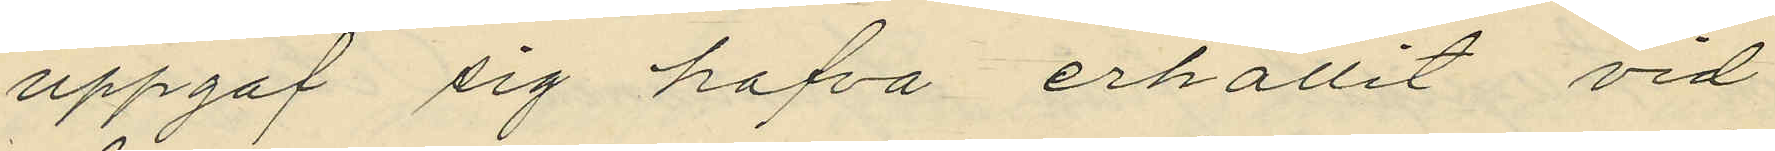uppgat sig hafva erhållit vid
